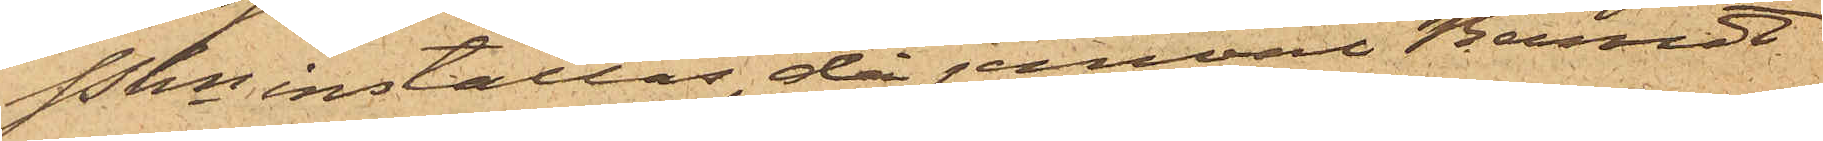Pkn inställas, då jemväl Berndt
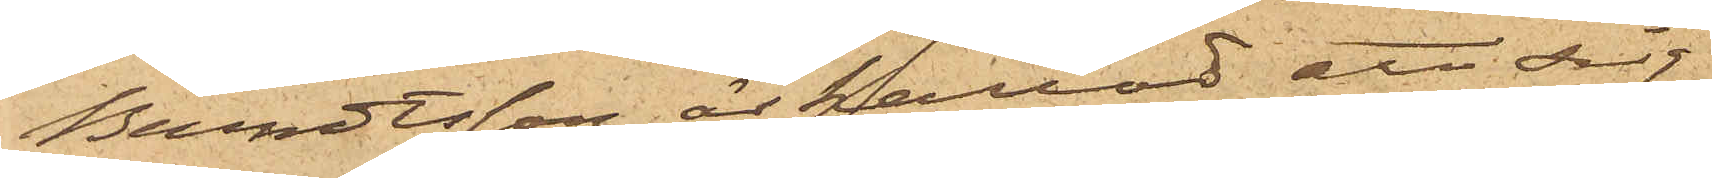Berndtsson är kallad att sig
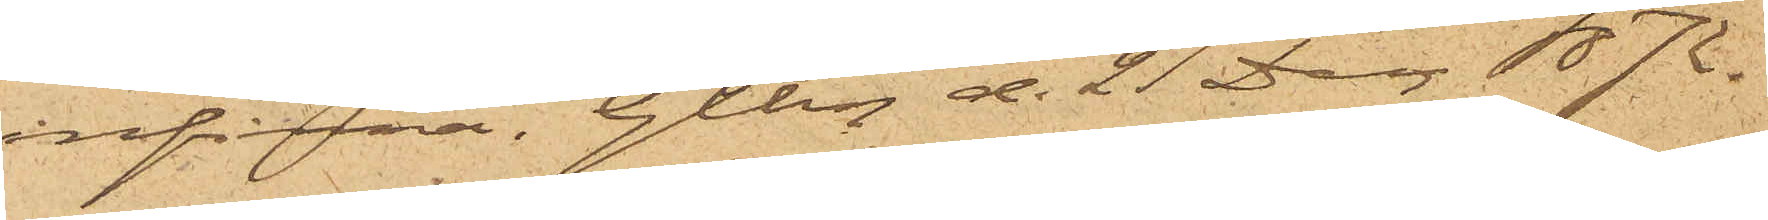infinna. Gtbg d. 21 Dan. 1872.
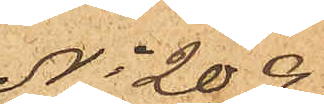No 209.
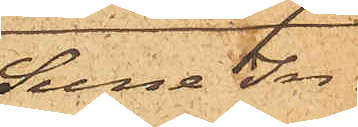Sune In¬
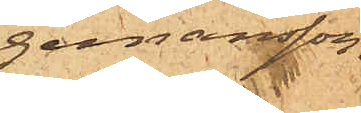gemansson.
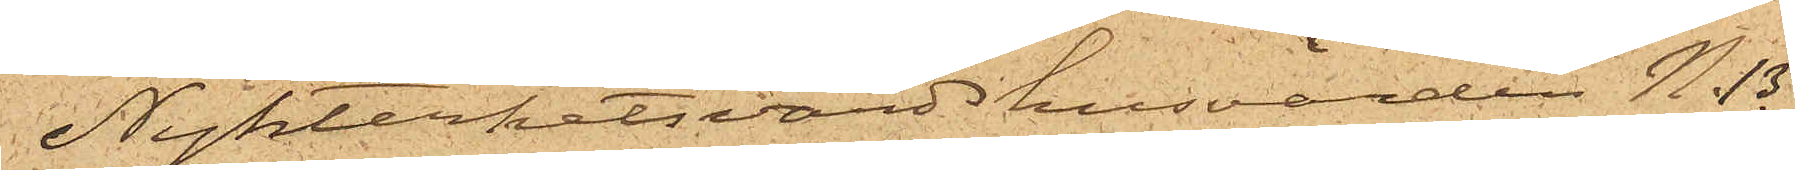Nykterhetsvärdshusvärden N. B.
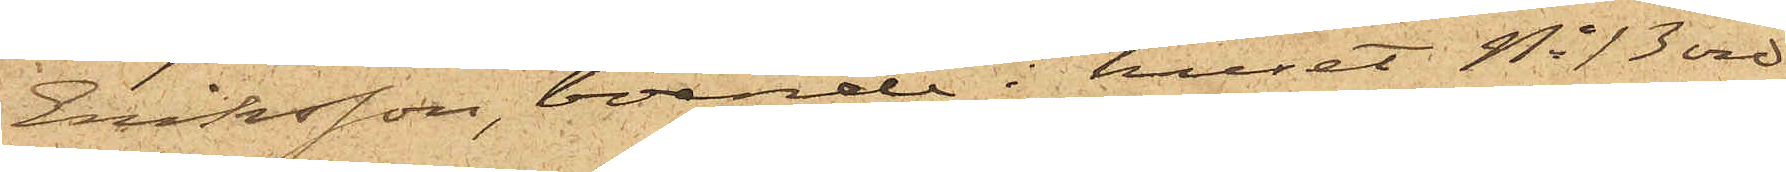Eriksson, boende i huset No 13 vid
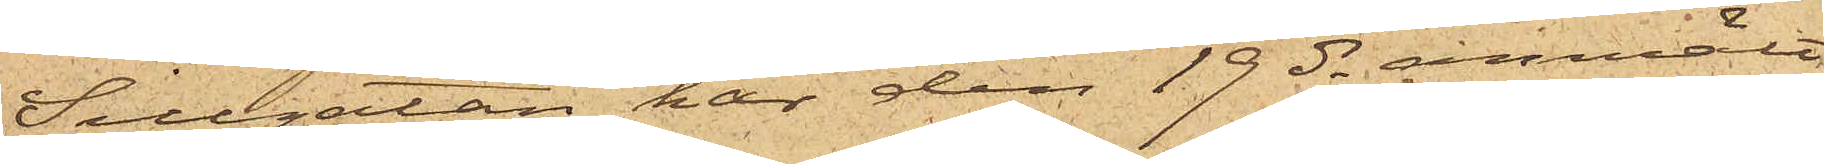Sillgatan, har den 19 ds anmält
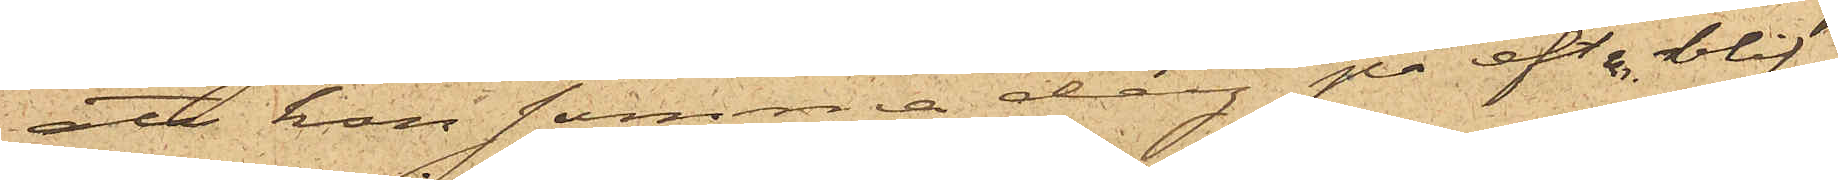att hon samma dag på eft m. blif¬
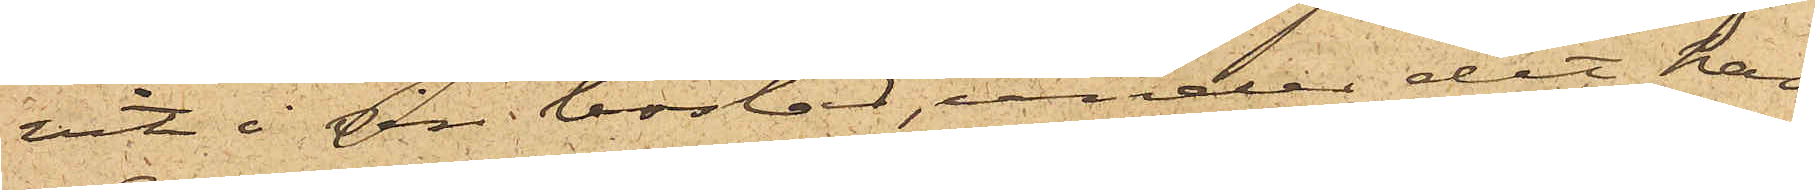vit i sin bostad, under det han
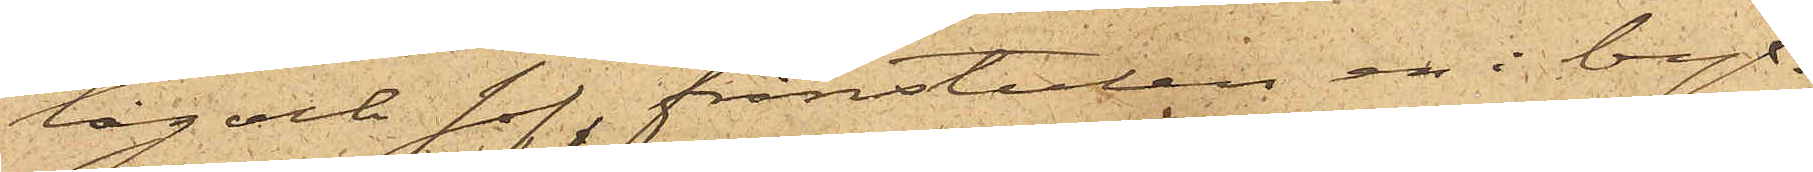låg och sof, frånstulen en i byx¬
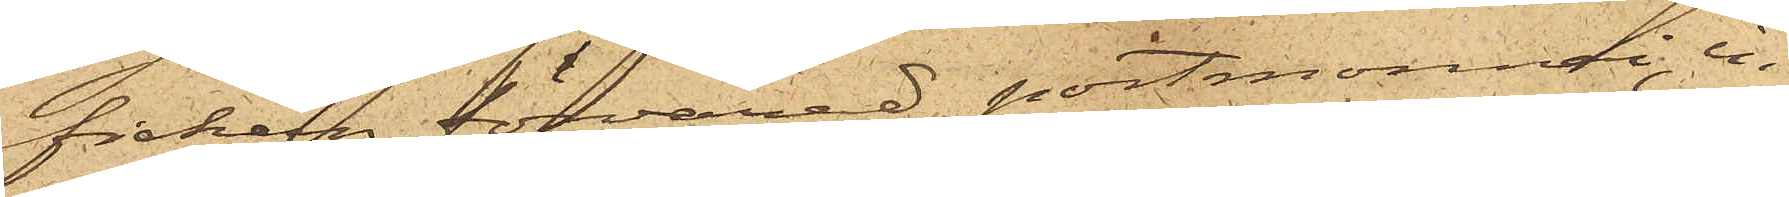fickan förvarad portmonnai, in¬
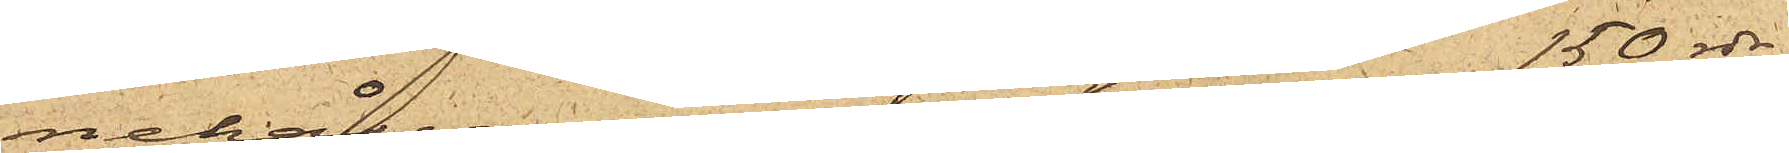nehållande omkring 150 rdr.
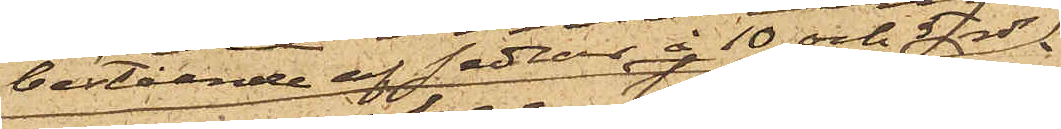bestående af sedlar à 10 och 5 rdr
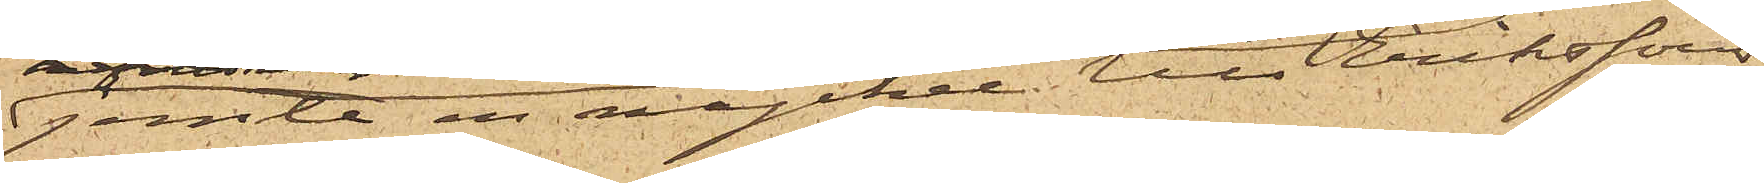jemte en nyckel till Erikssons
